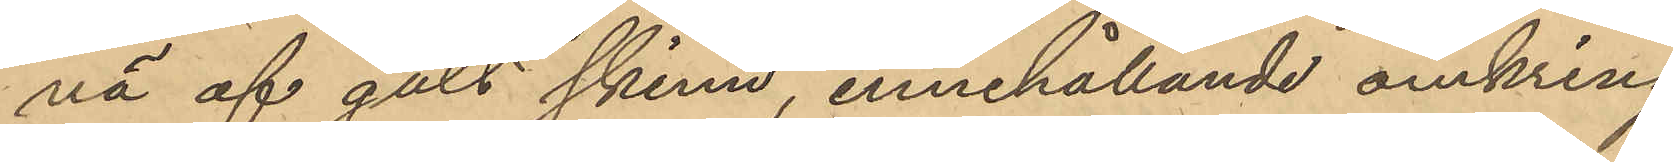nä af gult skinn, innehållande omkring
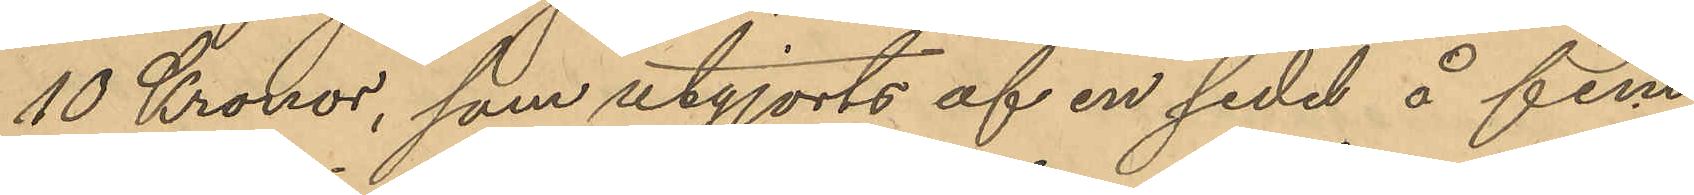10 Kronor, som utgjorts af en sedel å fem 
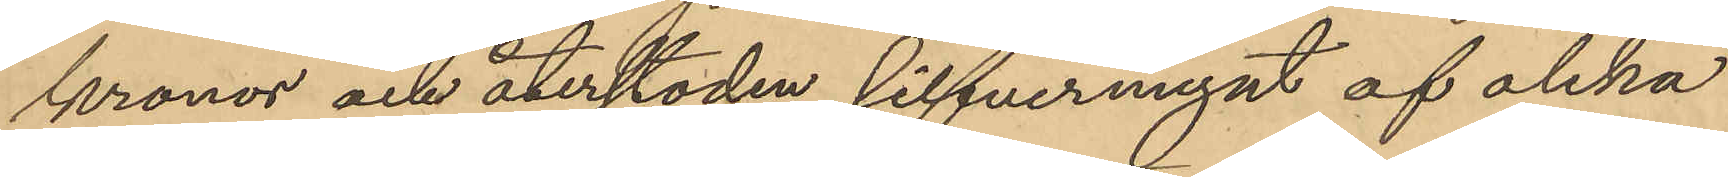kronor och återstoden silfvermynt af olika
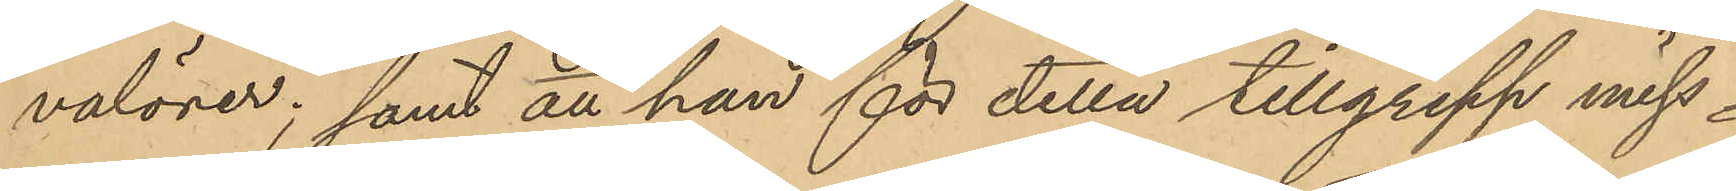valörer; samt att han för detta tillgrepp miss¬
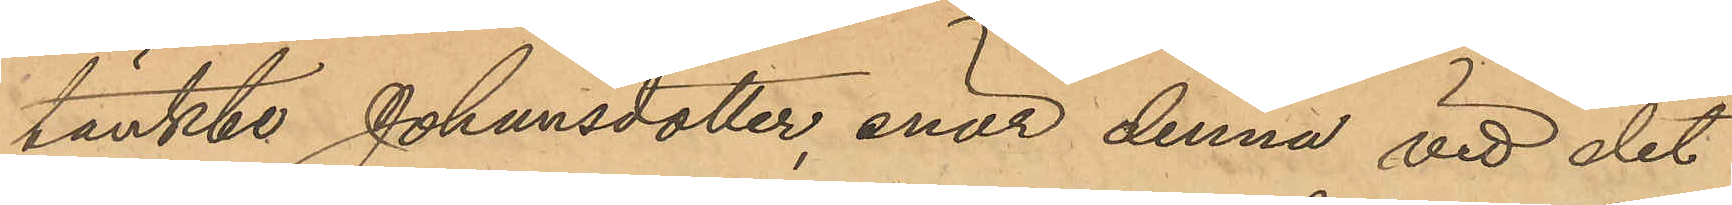tänkte Johansdotter enär denna vid det
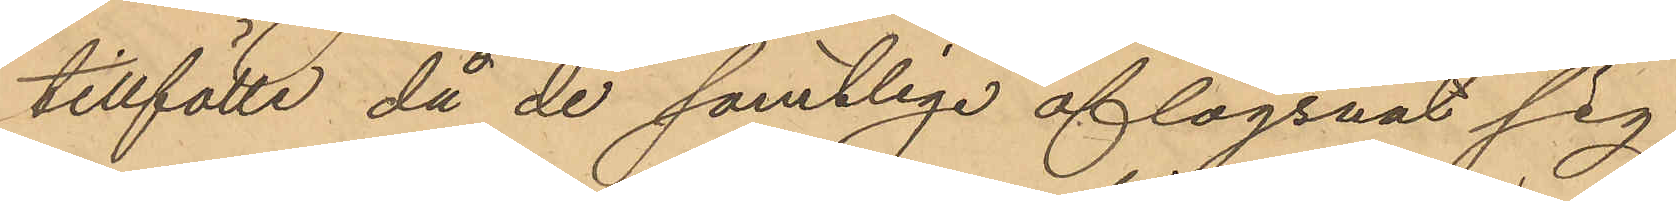tillfälle, då de samtlige aflägsnat sig
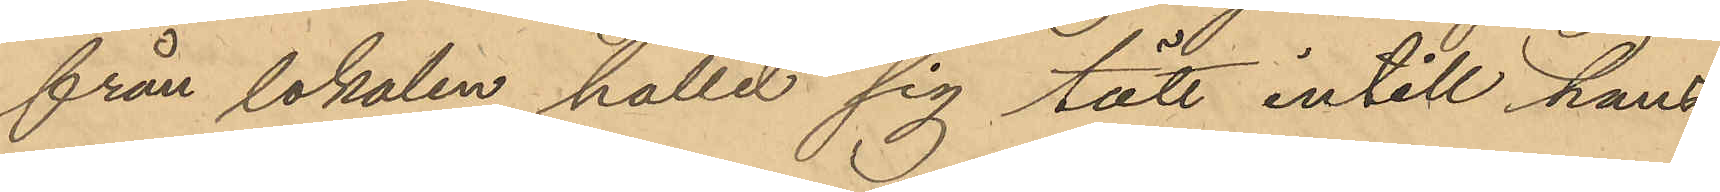från lokalen hållit sig tätt intill hans
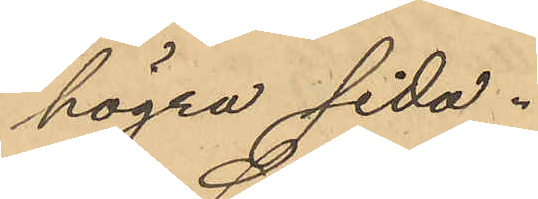högra sida.
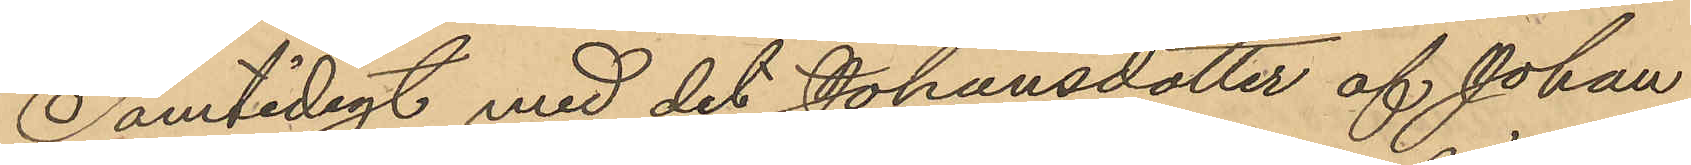Samtidigt med det Johansdotter af Johan
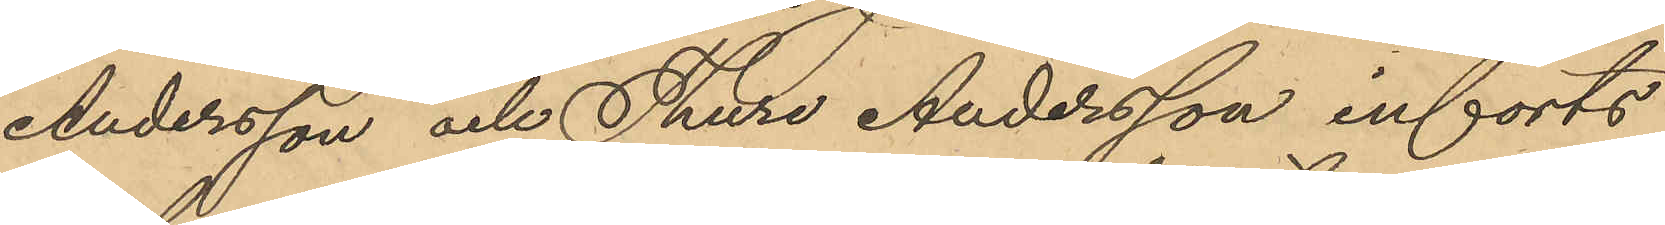Andersson och Thure Andersson införts
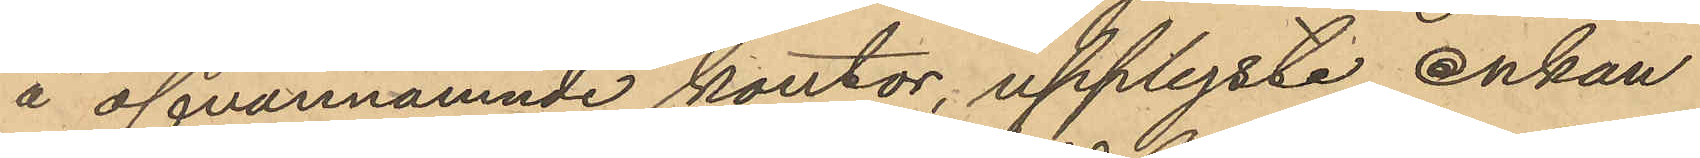å ofvannämnde kontor, upplyste Enkan
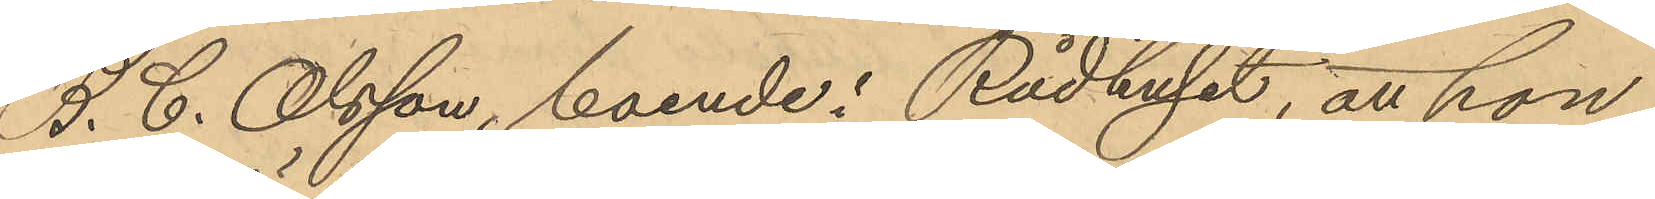A. C. Olsson, boende i Rådhuset, att hon,
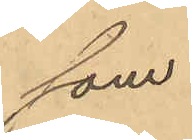som
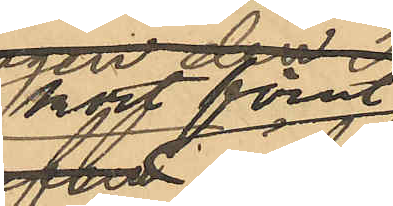kort förut
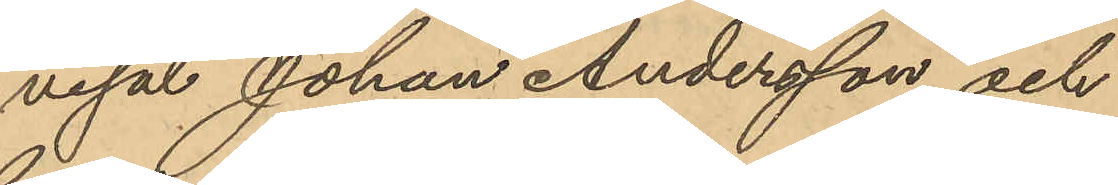visat Johan Andersson och
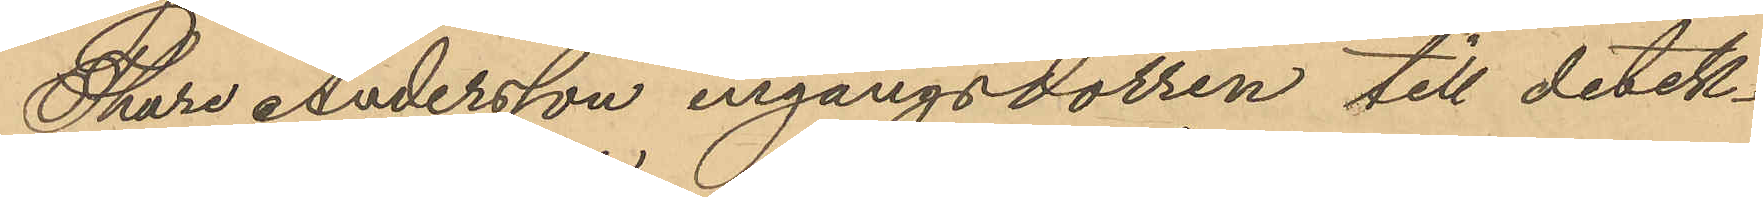Thure Andersson ingångsdörren till detek¬
